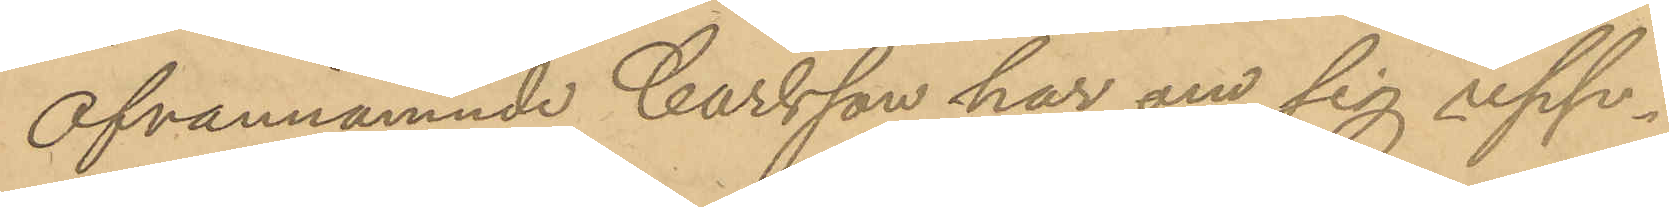Ofvannämnde Carlsson har om sig upp¬
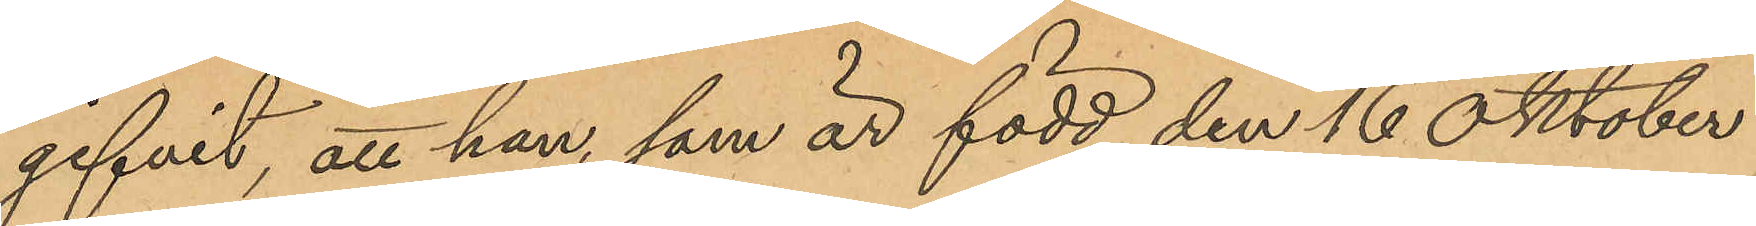gifvit, att han, som är född den 16 Oktober
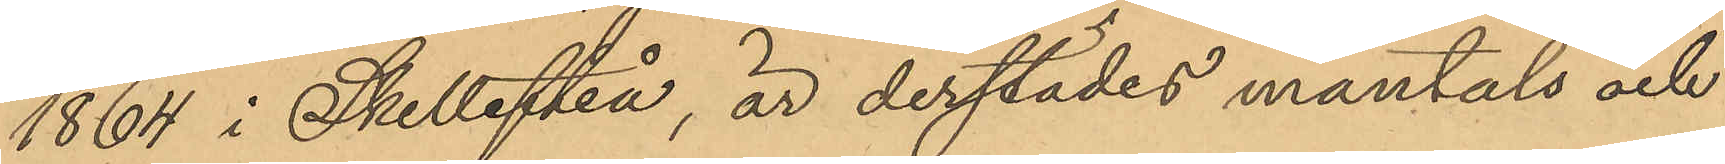1864 i Skellefteå, är derstädes mantals och
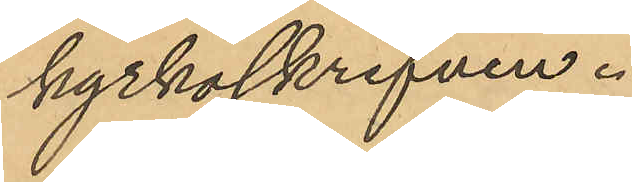kyrkoskrifven.
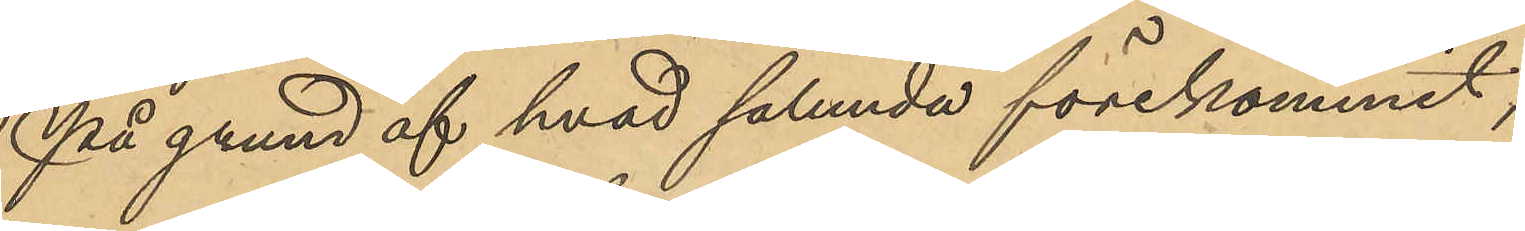På grund af hvad sålunda förekommit;
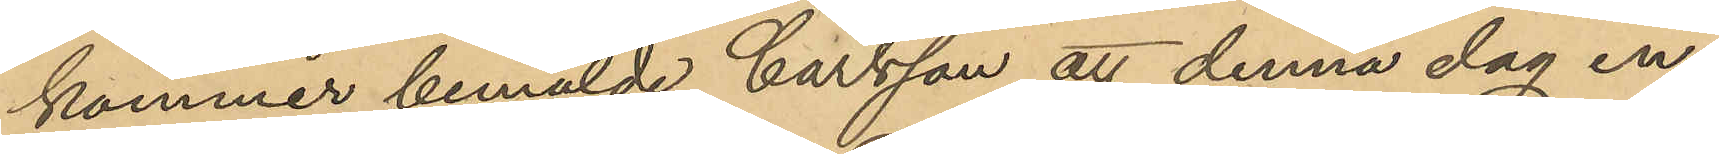kommer bemälde Carlsson att denna dag in¬
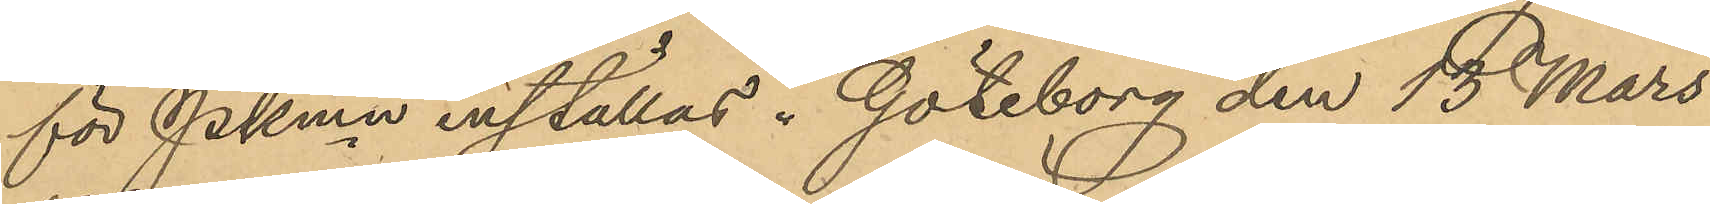för Pkmn inställas. Göteborg den 13 Mars
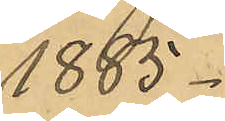1885.
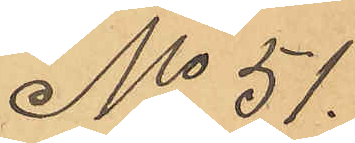No 51.
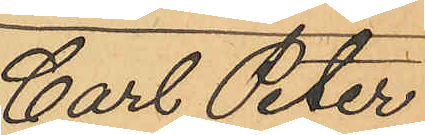Carl Peter¬
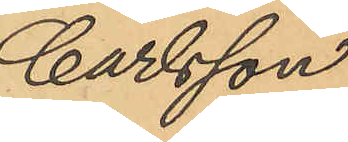Carlsson
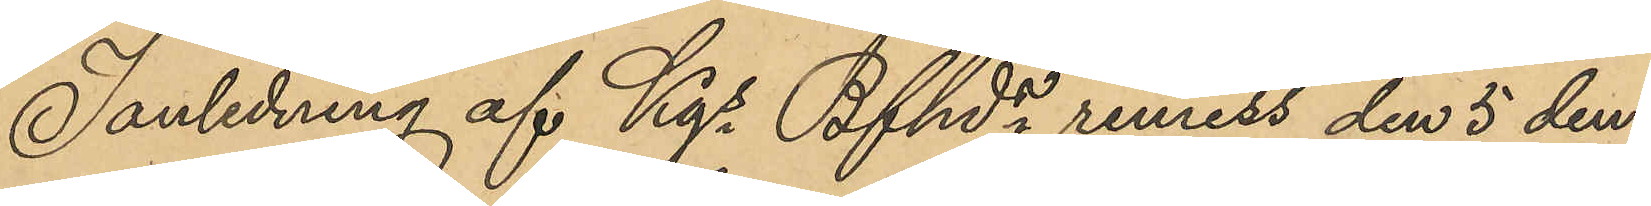I anledning af Kgs Bfhdes remiss den 5 den¬
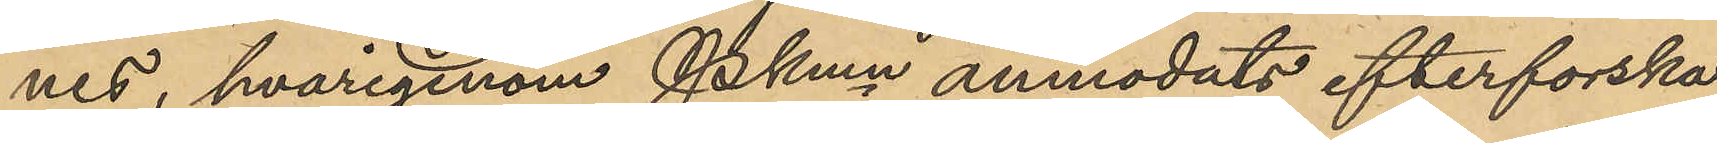nes, hvarigenom Pkmn anmodats efterforska
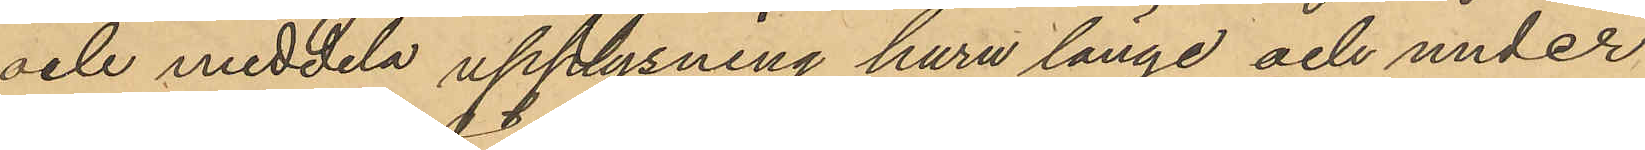och meddela upplysning huru länge och under
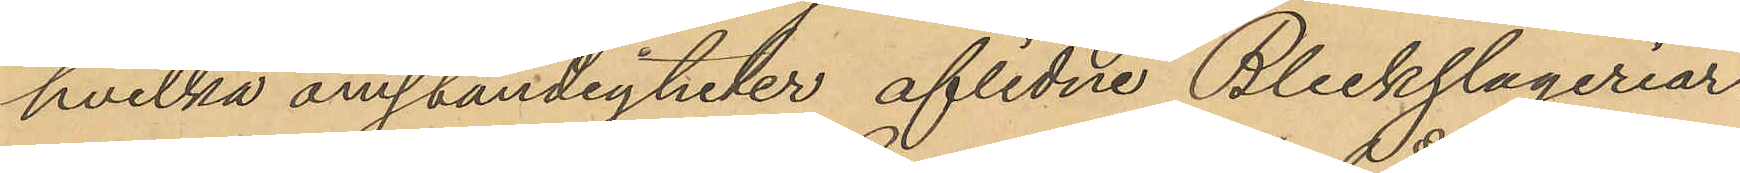hvilka omständigheter aflidne Bleckslageriar¬
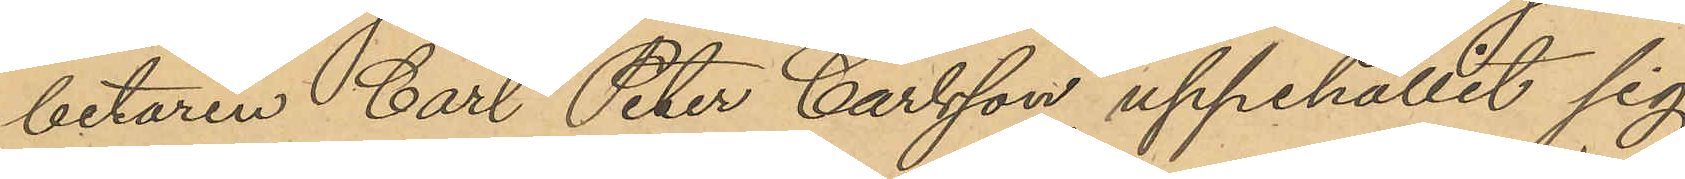betaren Carl Peter Carlsson uppehållit sig
